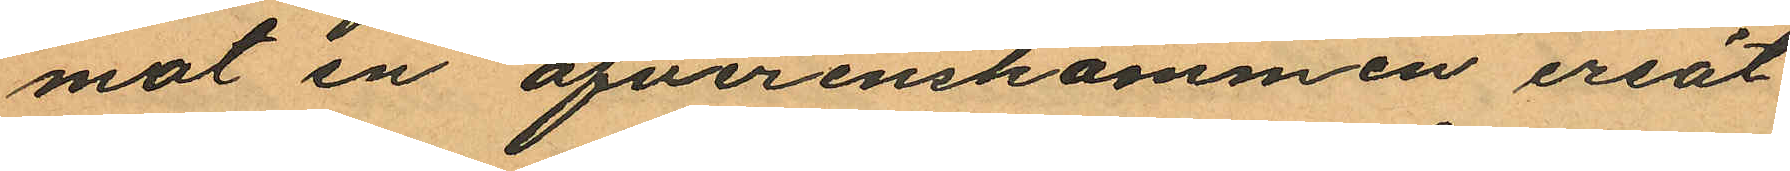mot en öfverenskommen ersät¬
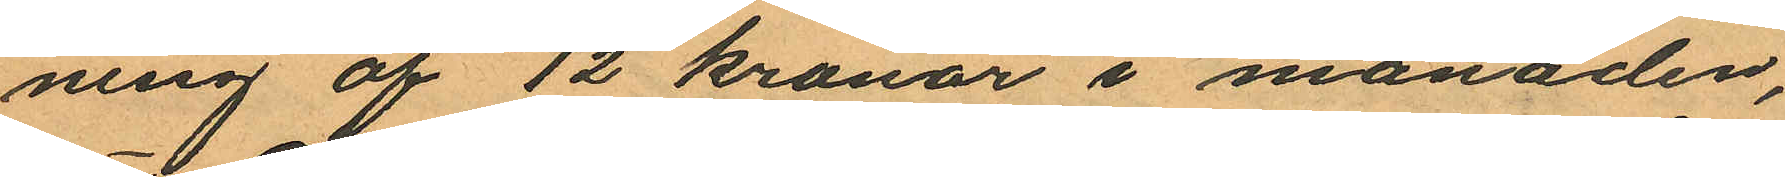ning af 12 kronor i månaden,
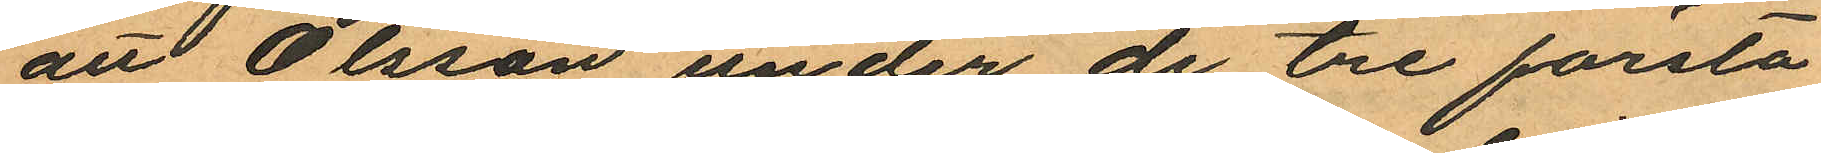att Olsson under de tre första
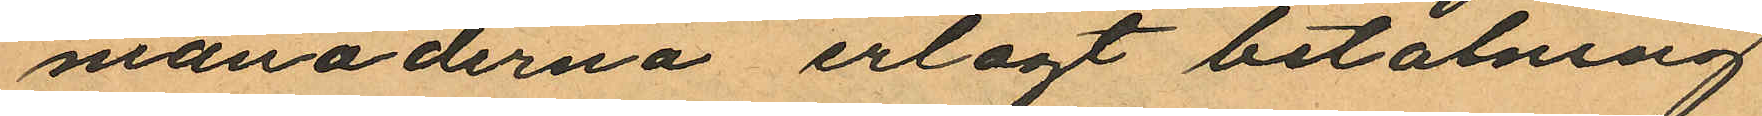månaderna erlagt betalning
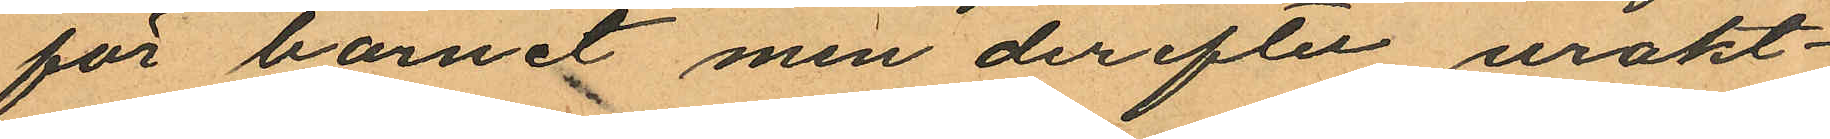för barnet men derefter urakt¬
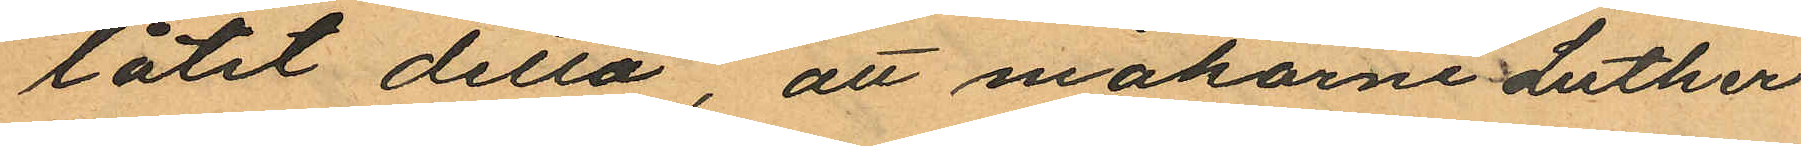låtit detta, att makarne Luther
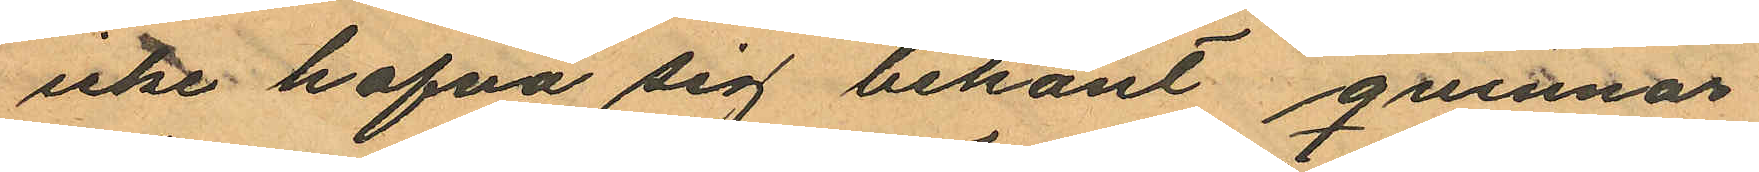icke hafva sig bekant qvinnan
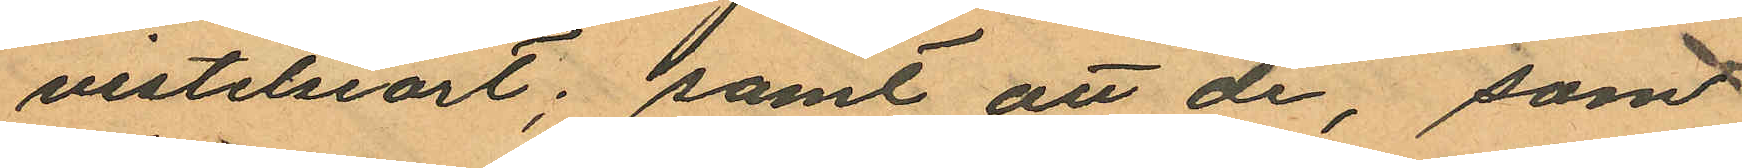vistelseort; samt att de, som
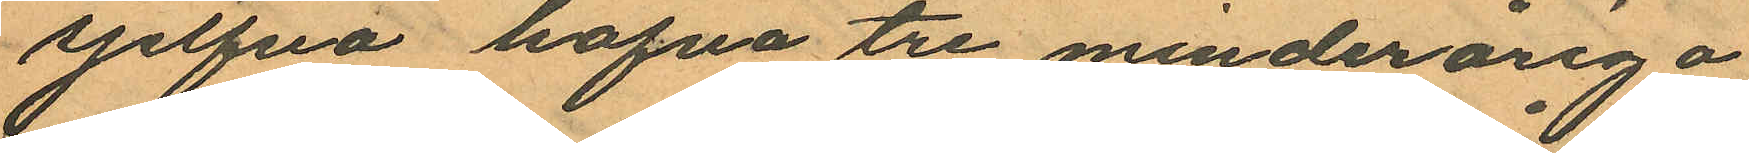sjelfva hafva tre minderåriga
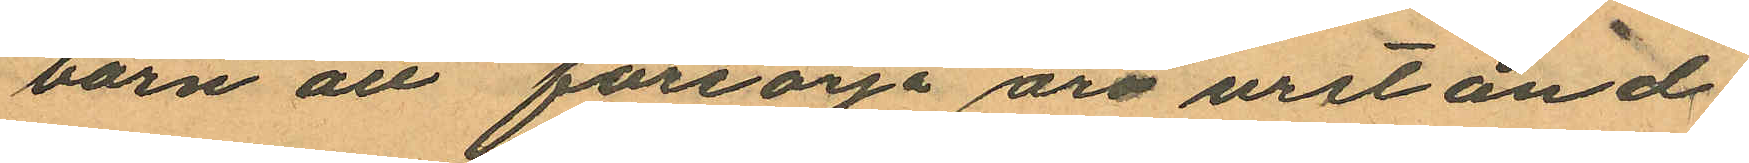barn att försörja äro urstånd¬
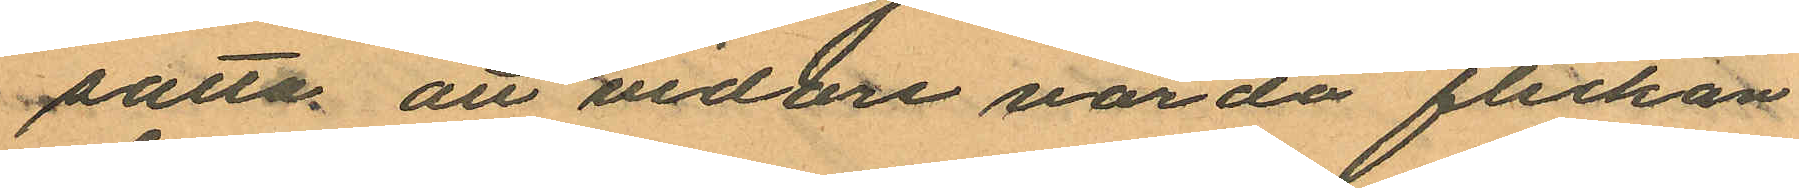satta att vidare vårda flickan
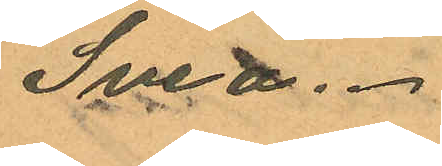Svea.
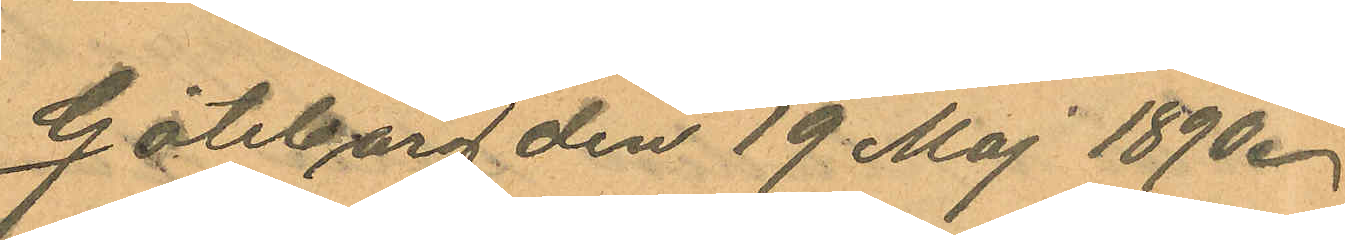Göteborg den 19 Maj 1890.
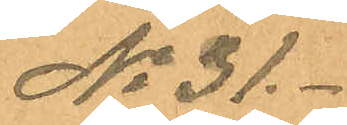No 31.
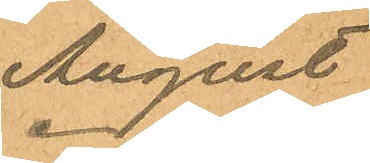August
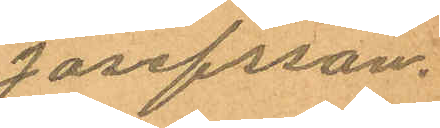Josefsson.
